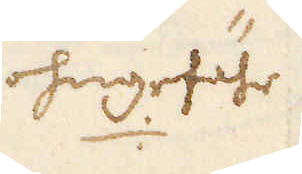ohngefähr
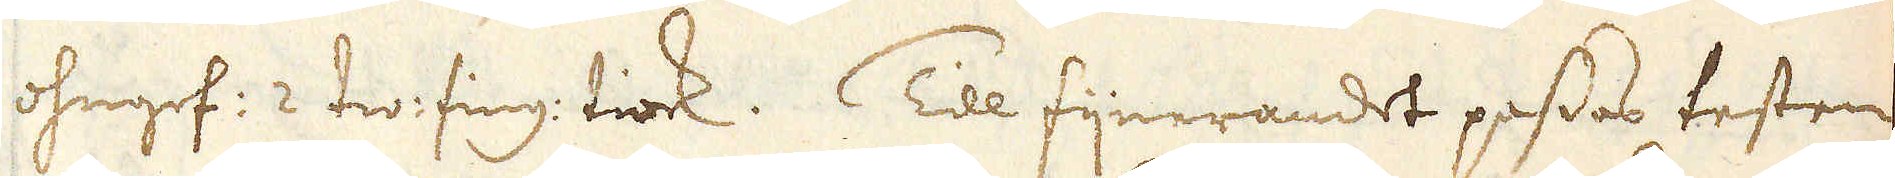ohngef: 2 tw: fing: tiock. Till fijnerandet passas testen
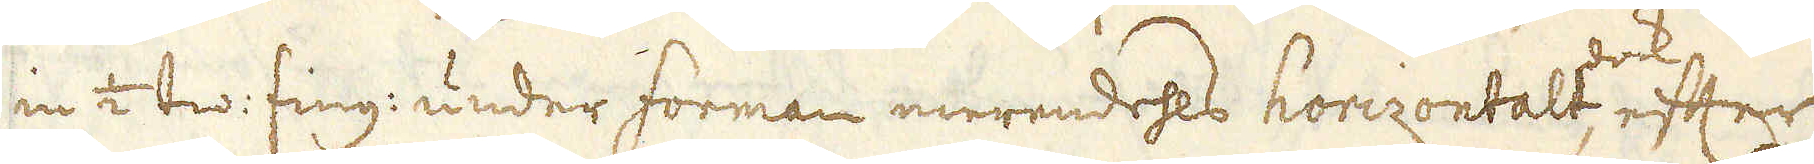in 2 tw: fing: under forman merendehls horizontalt, dock efter
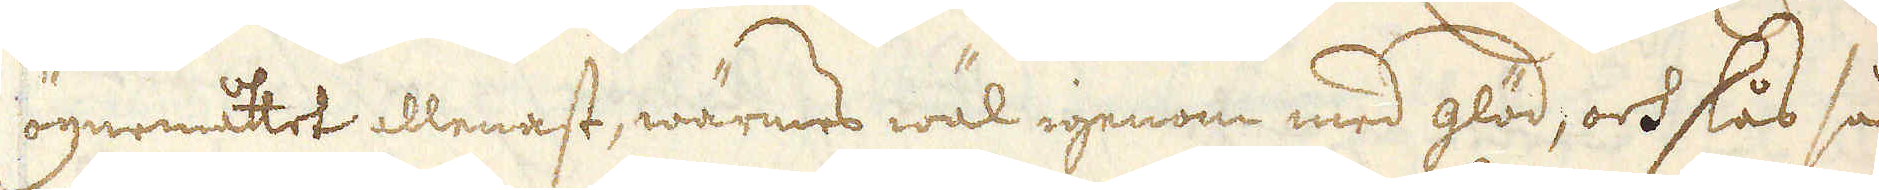ögnemåttet allenast, wärmes wäl igenom med glöd, och slås så
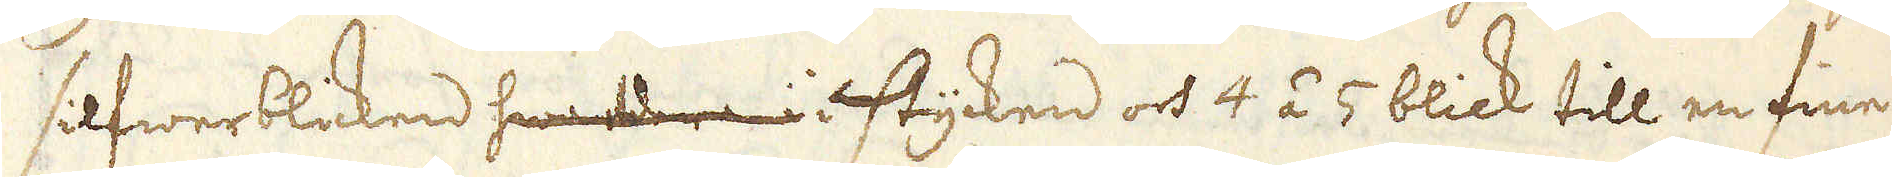silfwerblicken hwardera i stycken och 4 á 5 blick till en fine-
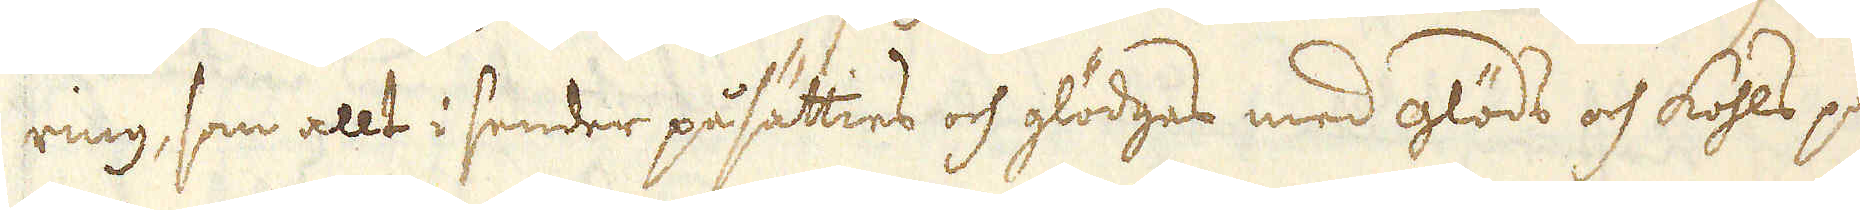ring, som allt i sender påsätties och glödges med glöds och köhls på-
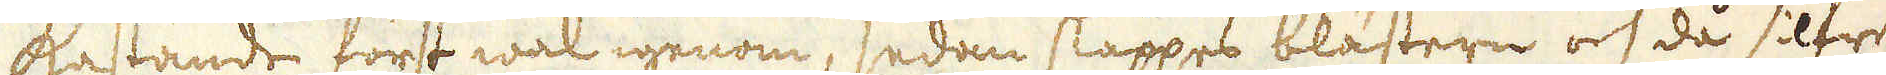astande först wäl igenom, sedan släppes blästringen och då silfret
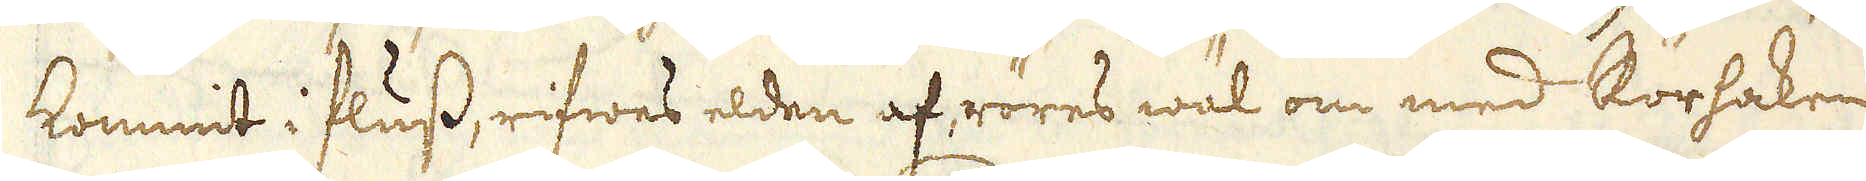kommit i fluss, rifwes elden af, röres wäl om med Rörhaken och
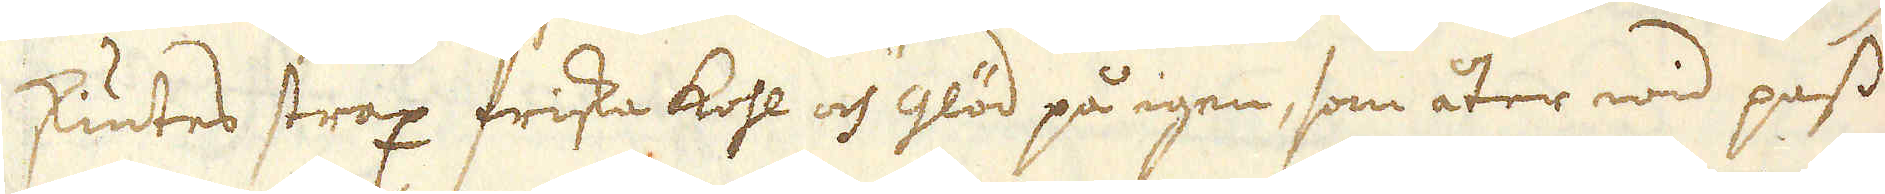skiutes strax friska kohl och Glöd på igen, som åter wid pass 1/2
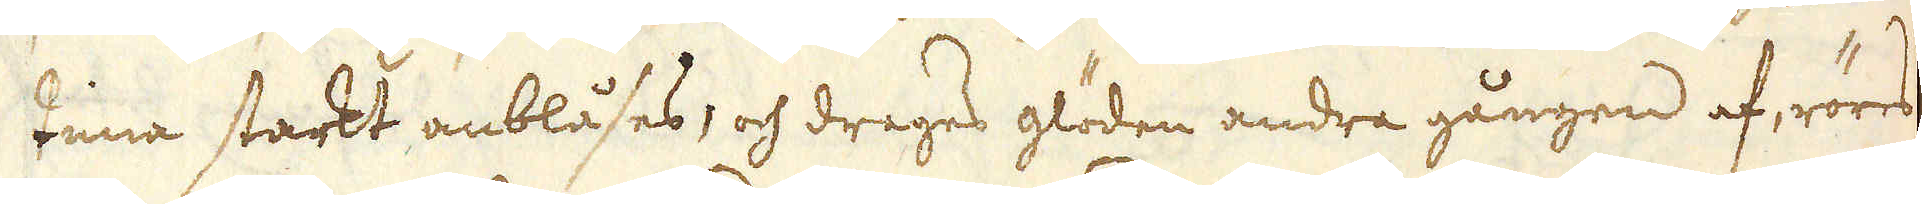tima starkt anblåses, och drages glöden andra gången af, röres
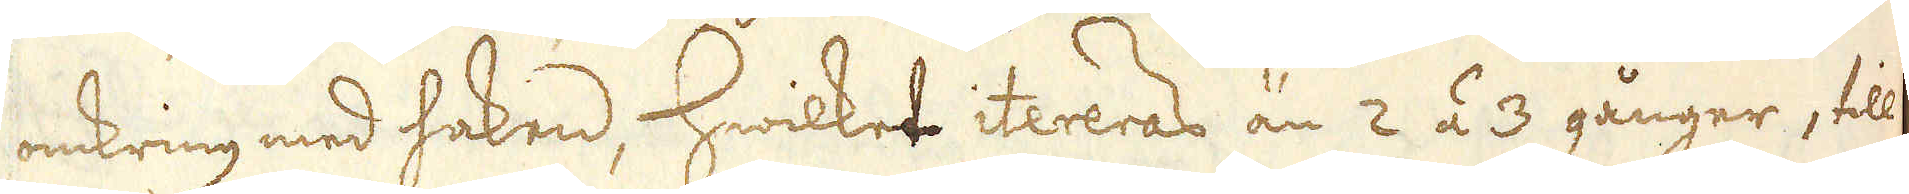omkring med haken, hwilket itereras än 2 á 3 gånger, till
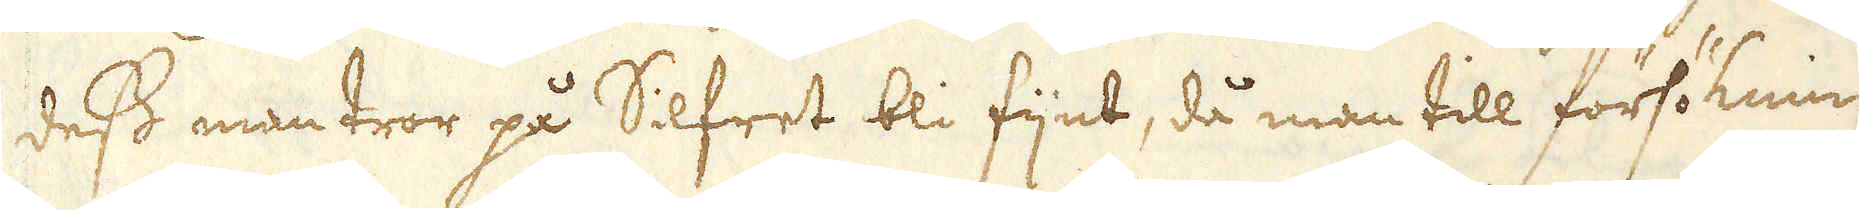dess man tror på Silfret bli fijnt, då man till försökning
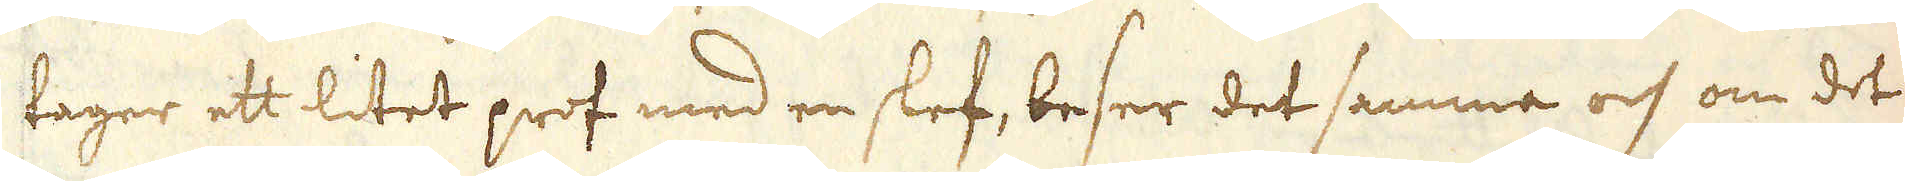tager ett litet prof med en slef, beser det samma och om det
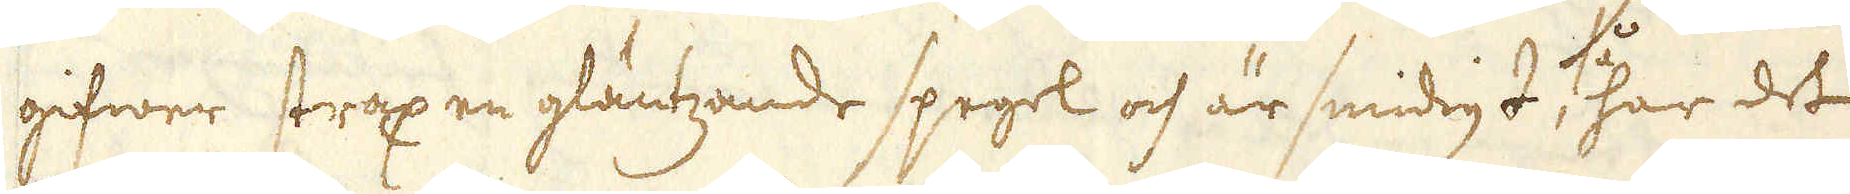gifwer strax en gläntzande spegel och är smidigt, så har det
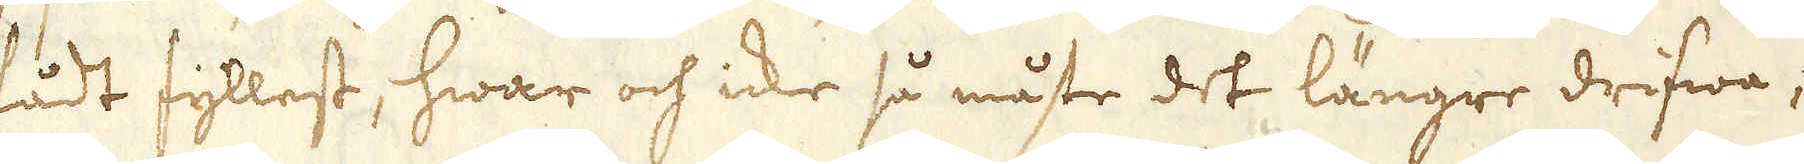fådt fyllest, hwar och icke så måste det längre drifwa;
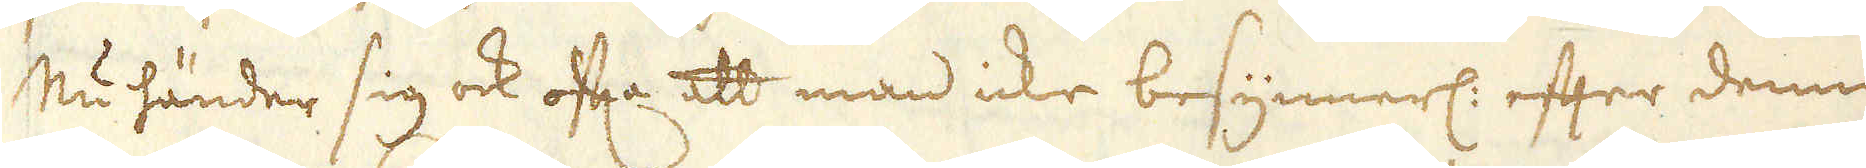Nu händer sig ock ofta att man icke besynnerl: efter denna
